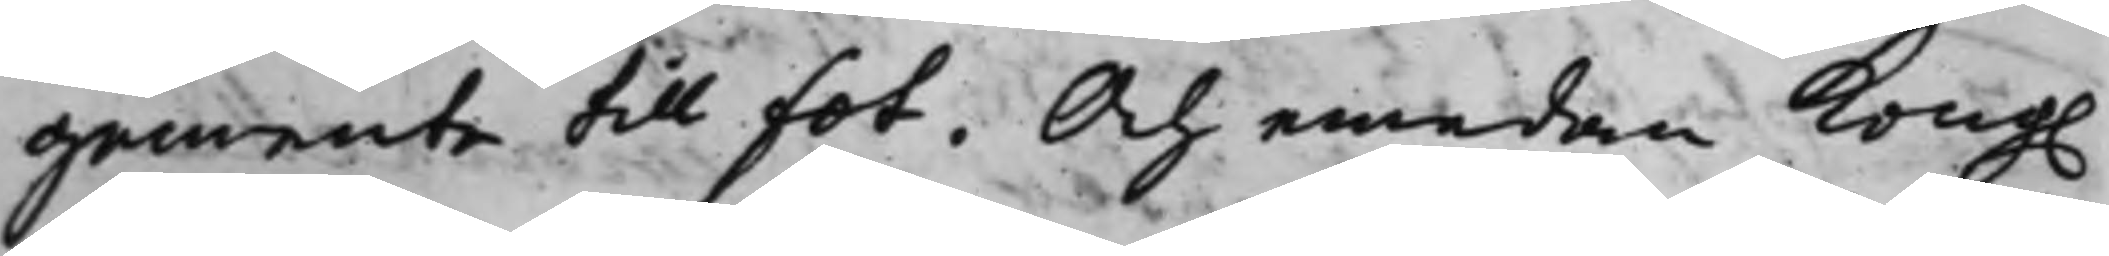gemente till fot. Och emedan Kong.
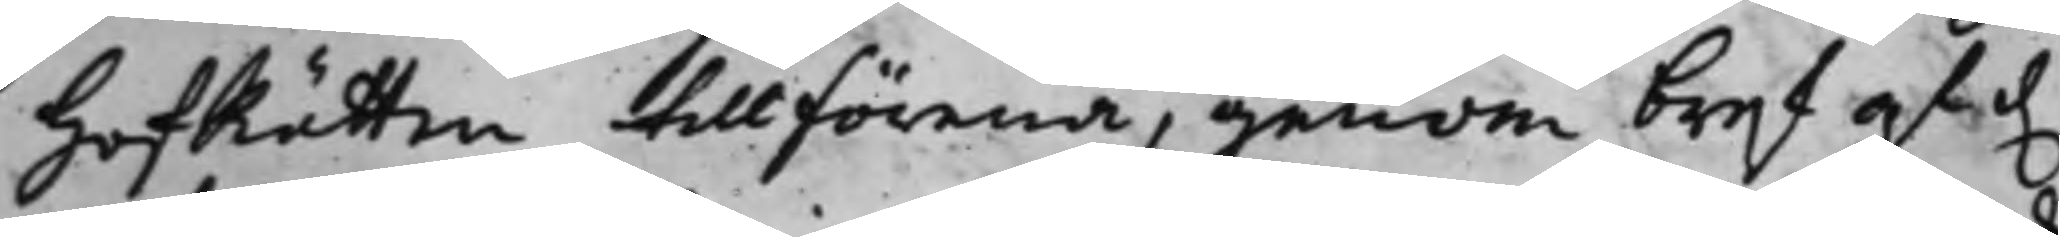HofRätten tillförena, genom bref af d.
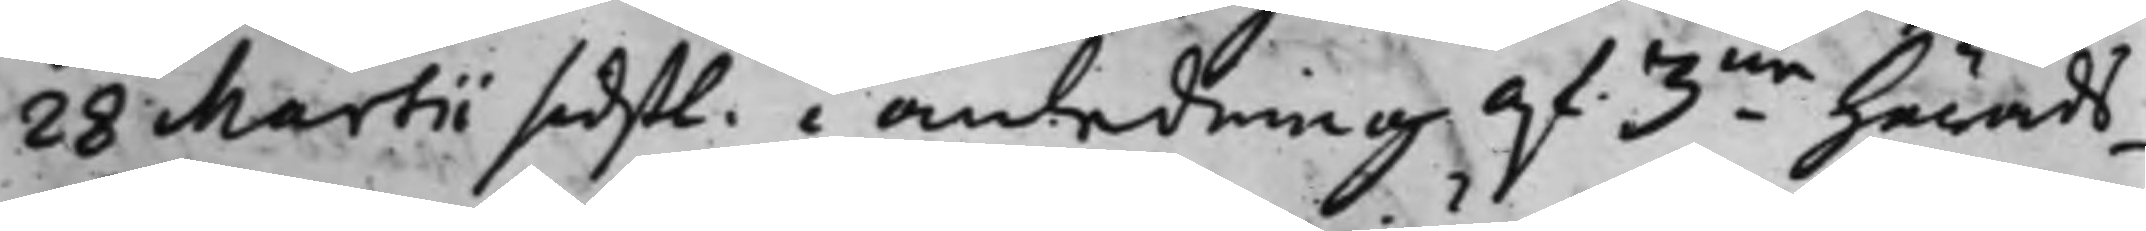28 Martii sidstl. i anledning af 3ne Härads¬
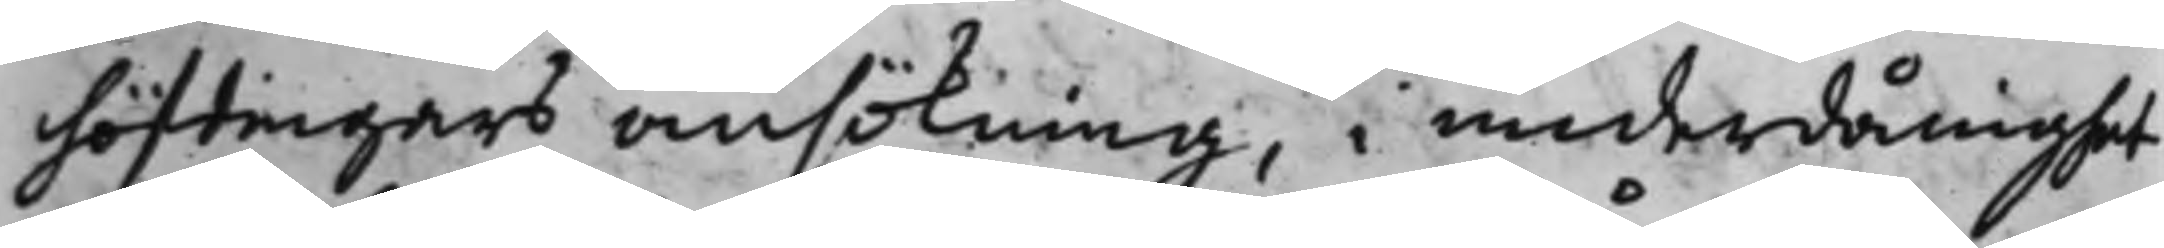höfdingars ansökning, i underdånighet
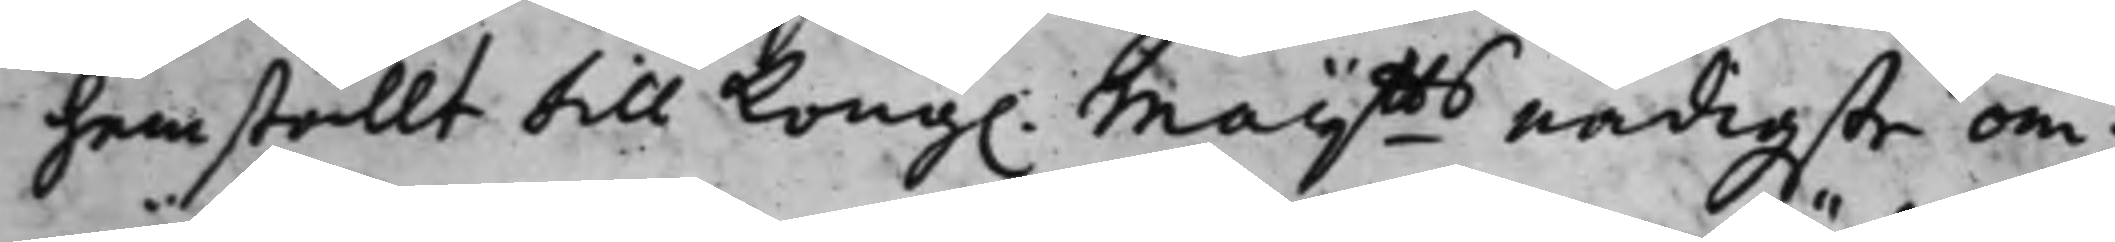hemställt till Kong. Maijtts nådigste om¬
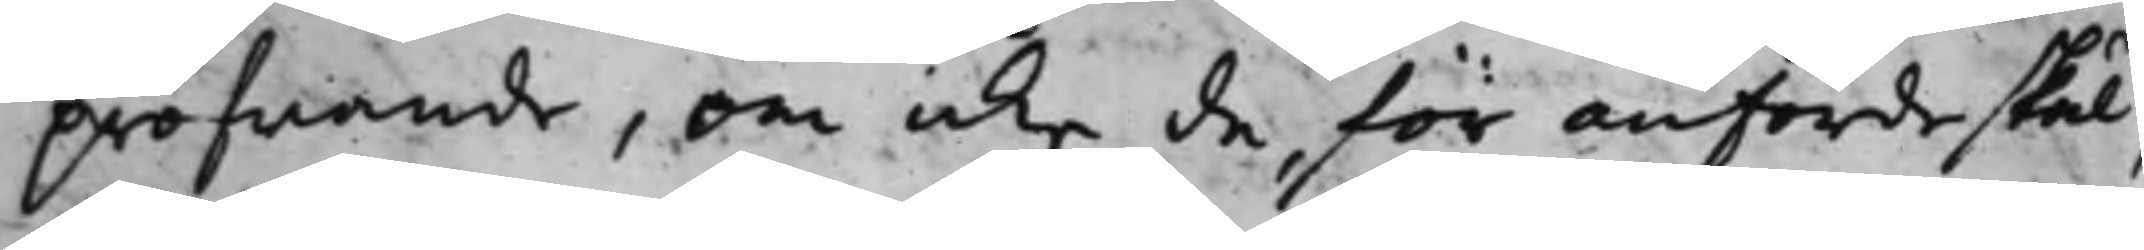pröfwande, om icke de, för anförde skäl,
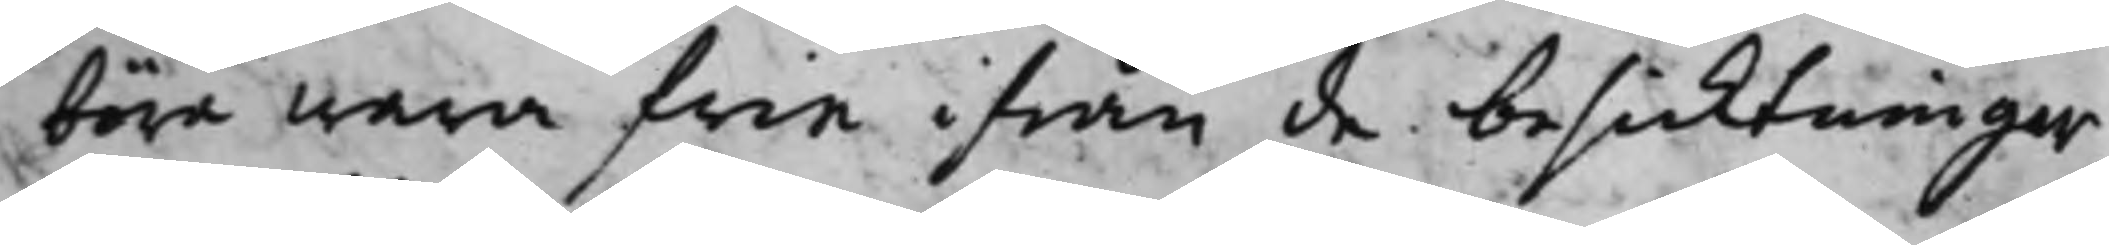böra wara frie ifrån de besicktningar,
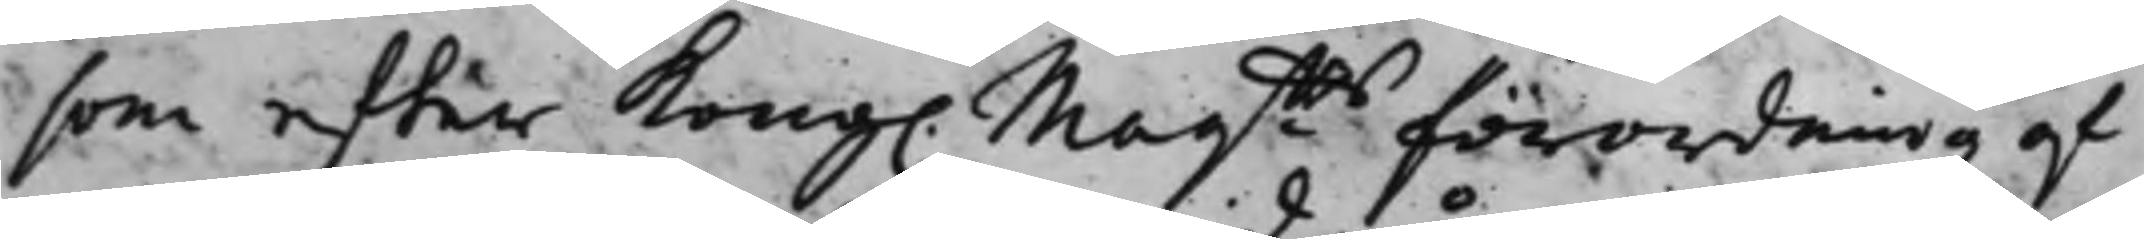som effter Kong. Maijtts förordning af
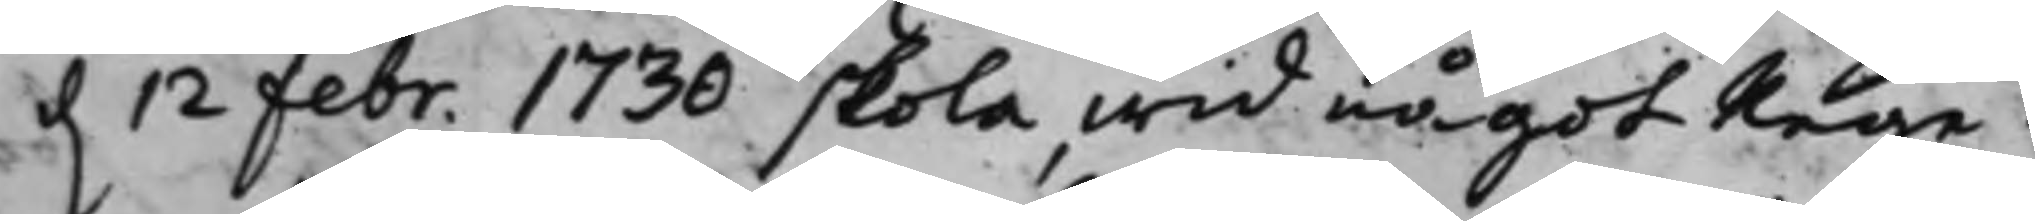d. 12 Febr. 1730 skola wid något Rege¬
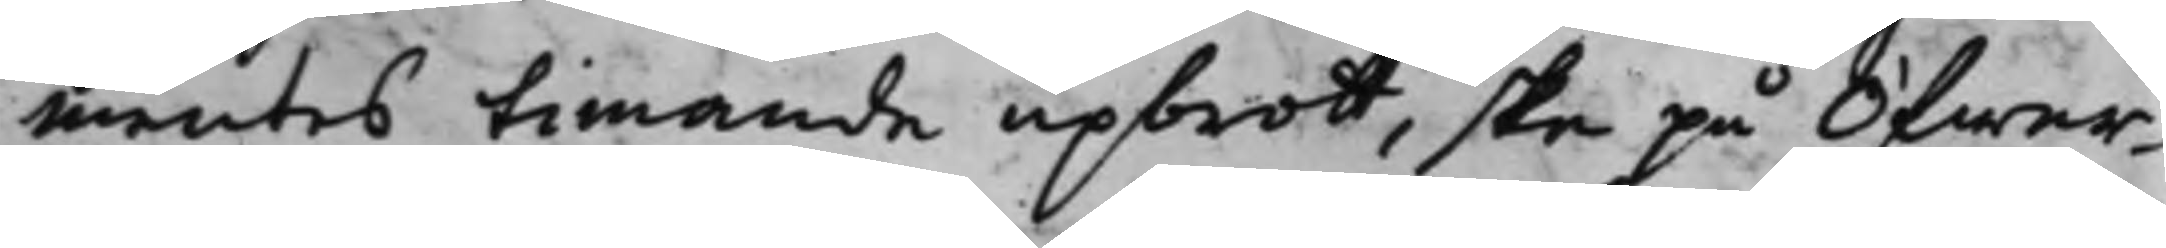mentes timande upbrott, ske på Öfwer¬
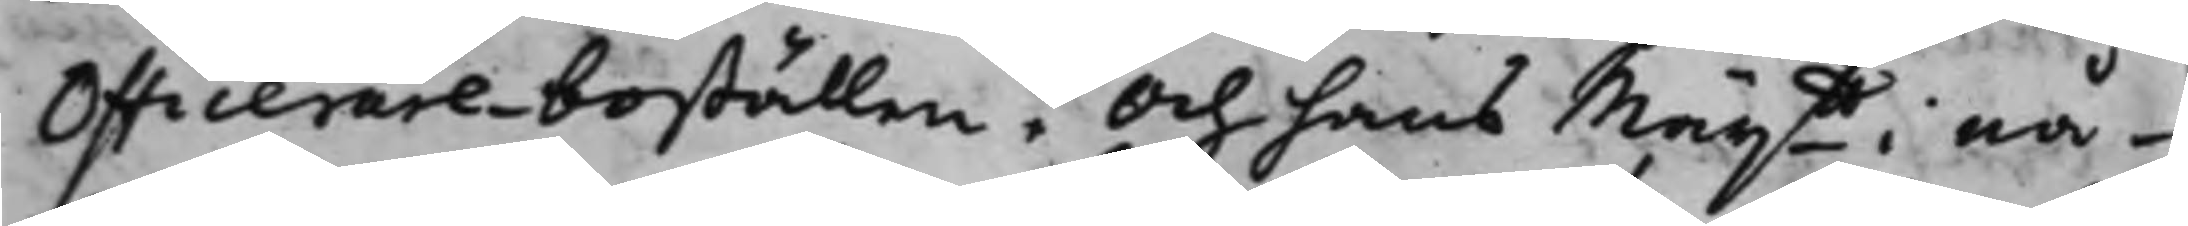Officerareboställen. Och hans Maijtt i nå¬
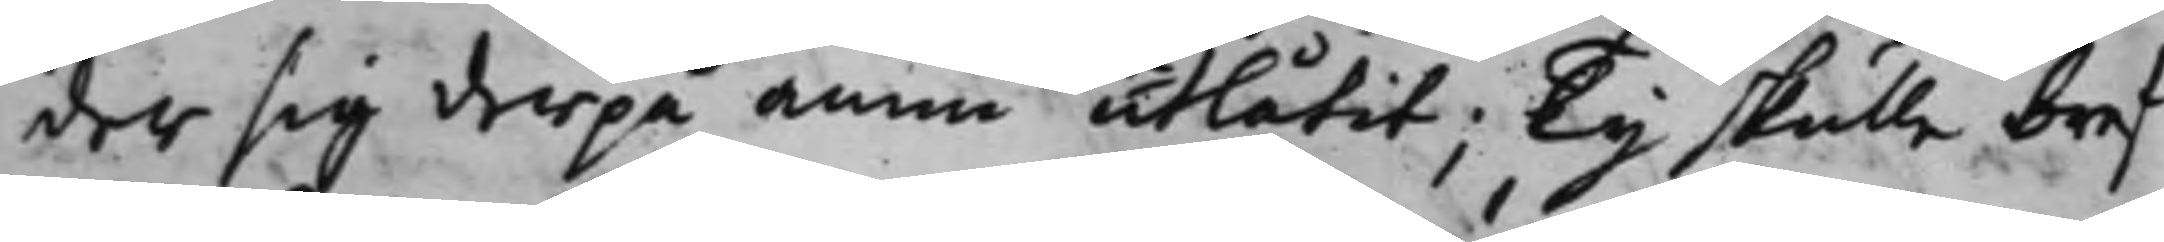der sig derpå ännu utlåtit; Ty skulle bref
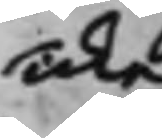icke
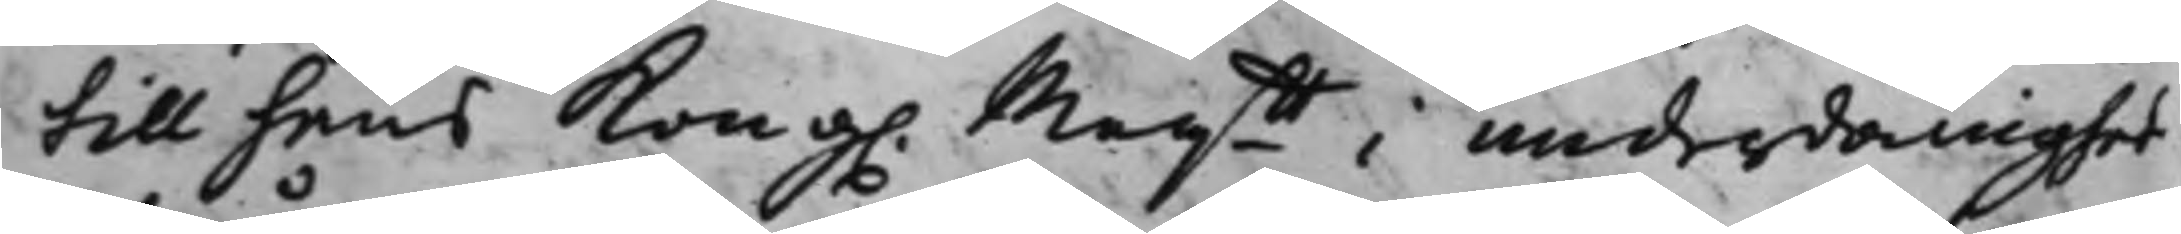till hans Kong. Maijtt i underdånighet
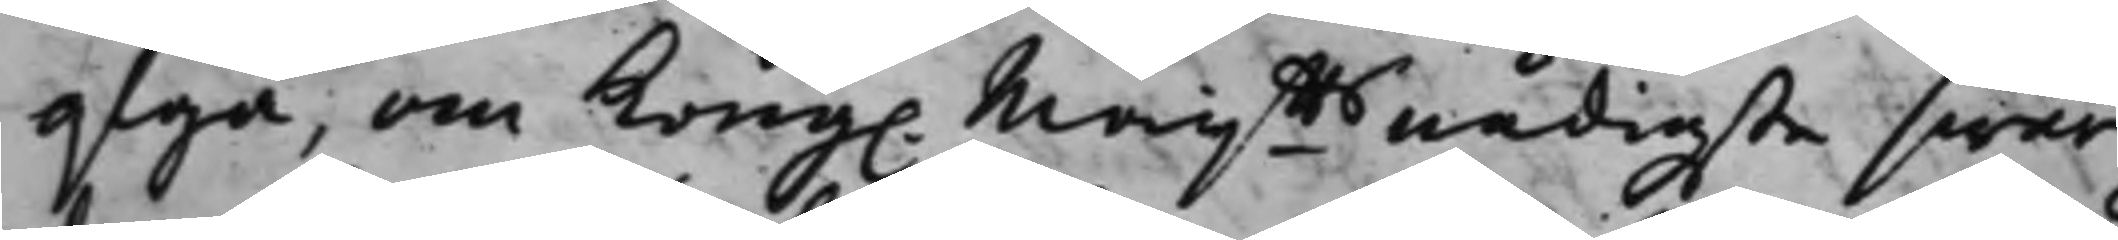afgå, om Kong. Maijtts nådigste swar
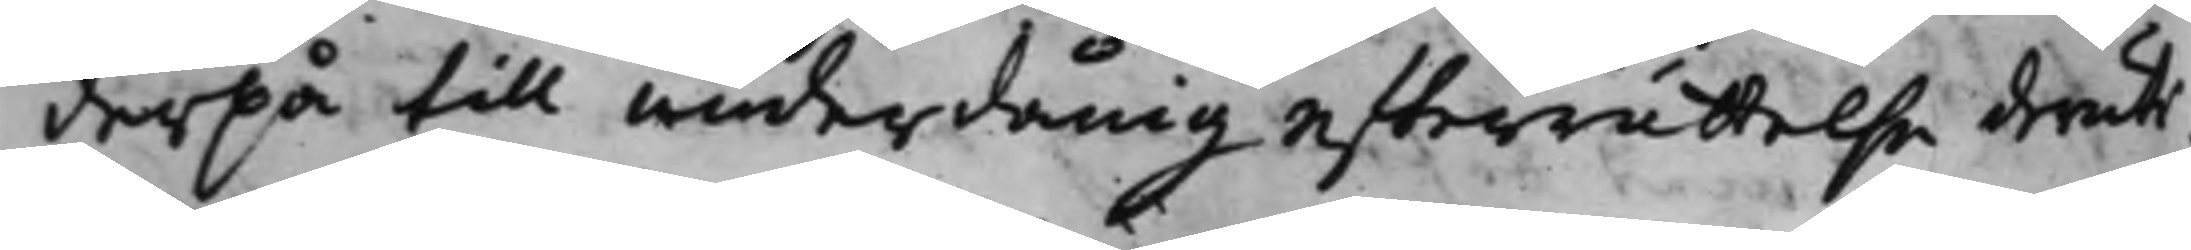derpå till underdånig effterrättelse deruti.
